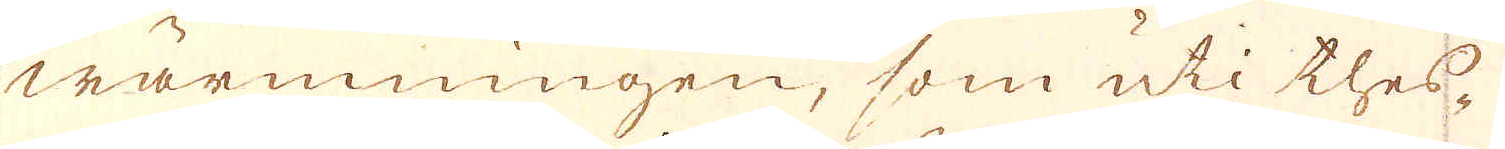wärmningen, som uti thes-
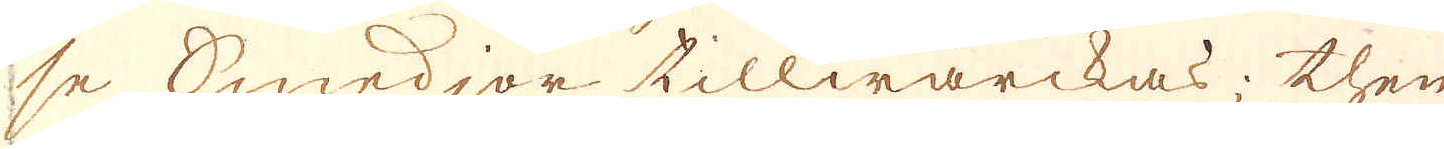se Smedjor tillwärckas; then
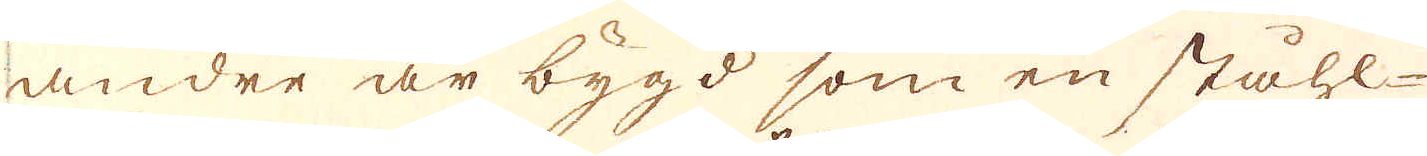andre är bygd som en ståhl-
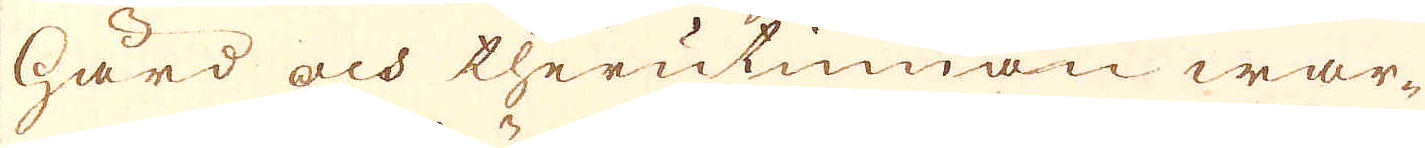härd och therutinnan war-
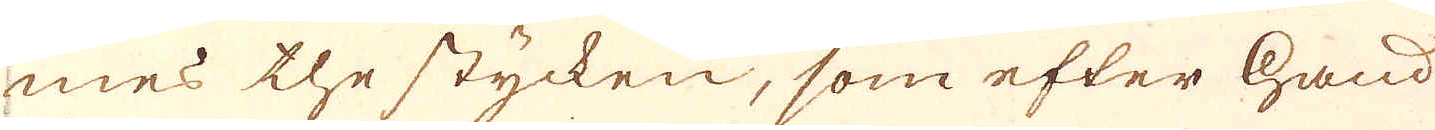mes the stycken, som efter hand
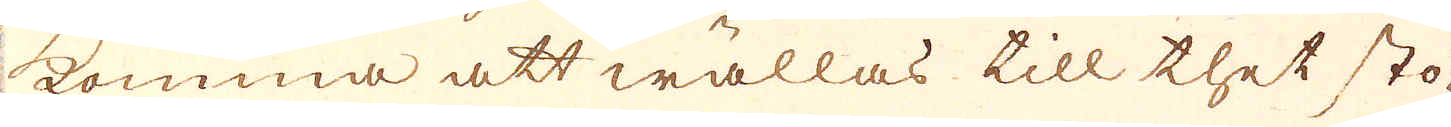komma att wällas till thet sto-
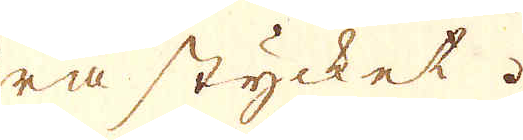ra stycket.
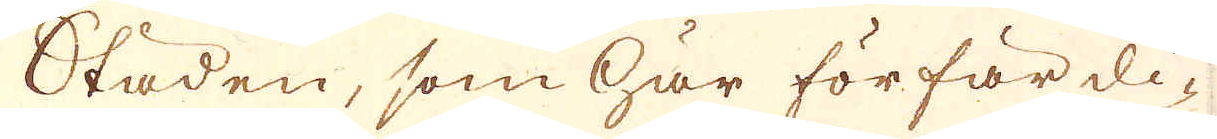Städen, som här förfärdi-
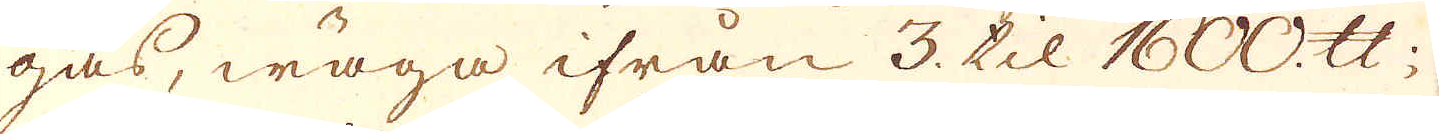gas, wäga ifrån 3. til 1600. skålpund;
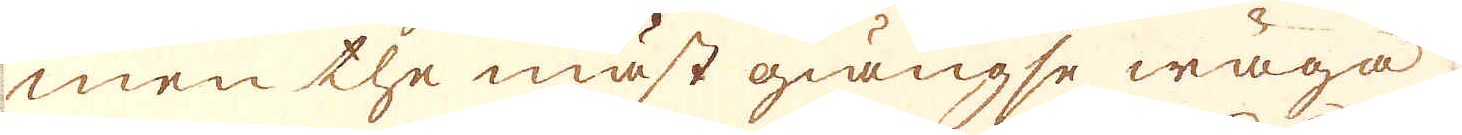men the mäst giängse wäga
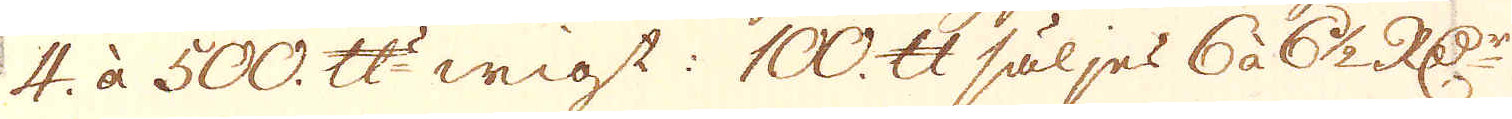4. à 500. skålpunds wigt: 100. skålpund säljes 6 à 6 1/2 R:Dr
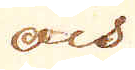och
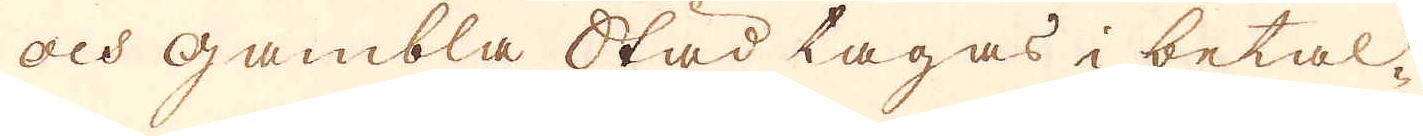och gambla Städ lagas i betal-
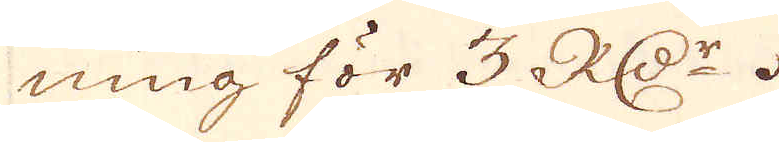ning för 3 R:Dr.
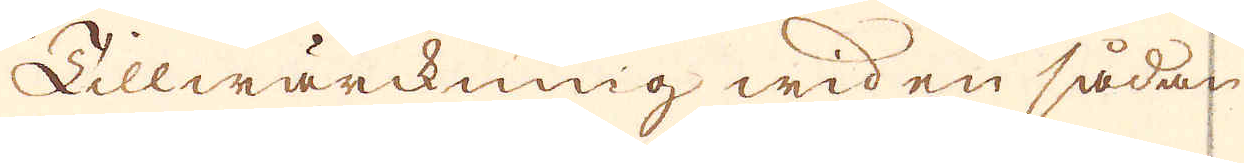Tillwärckning wid en sådan
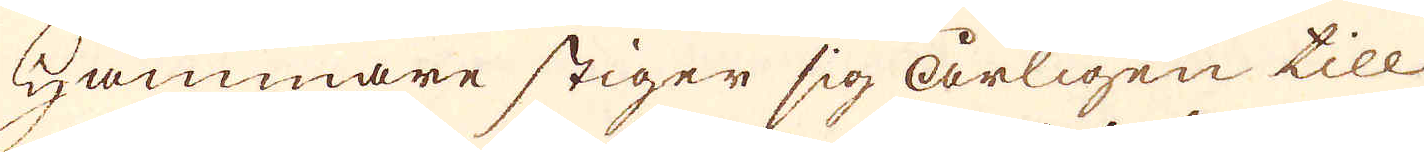Hammare stiger sig årligen till
